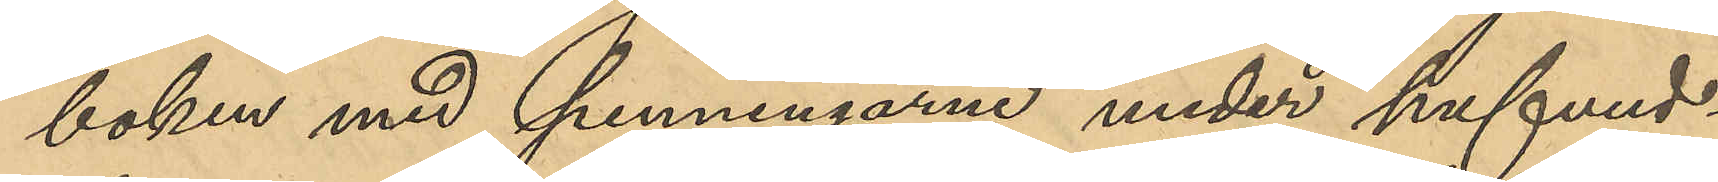boken med penningarne under hufvud¬
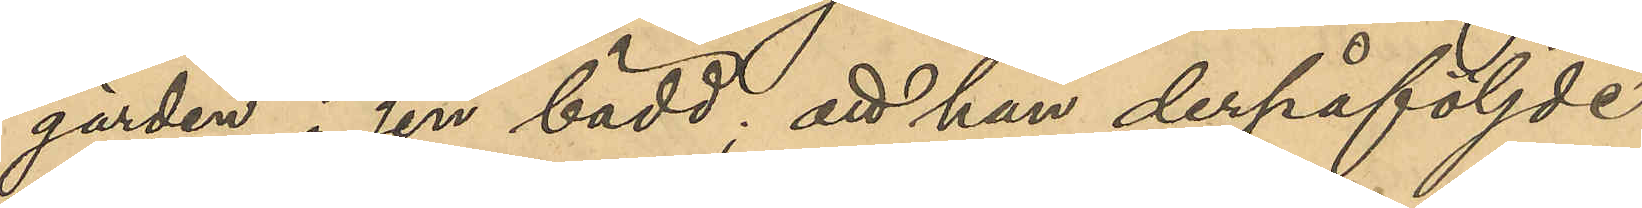gärden i sin bädd; att han derpåföljde
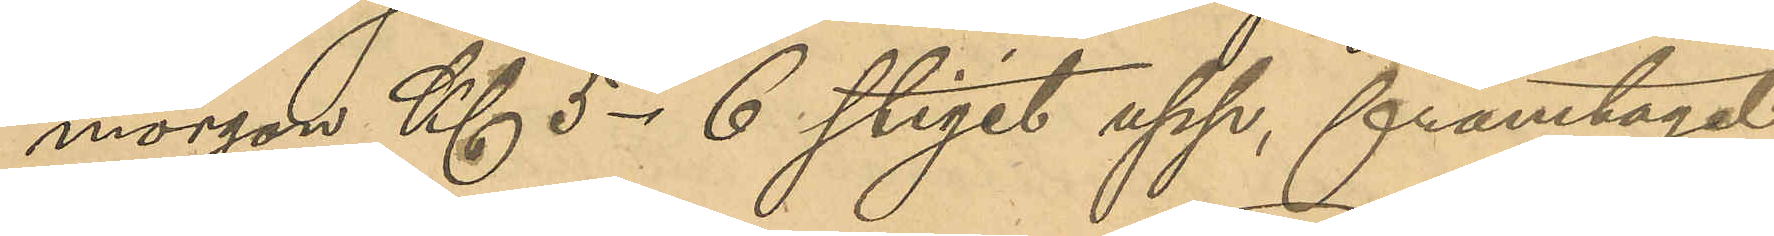morgon Kl 5-6 stigit upp, framtagit
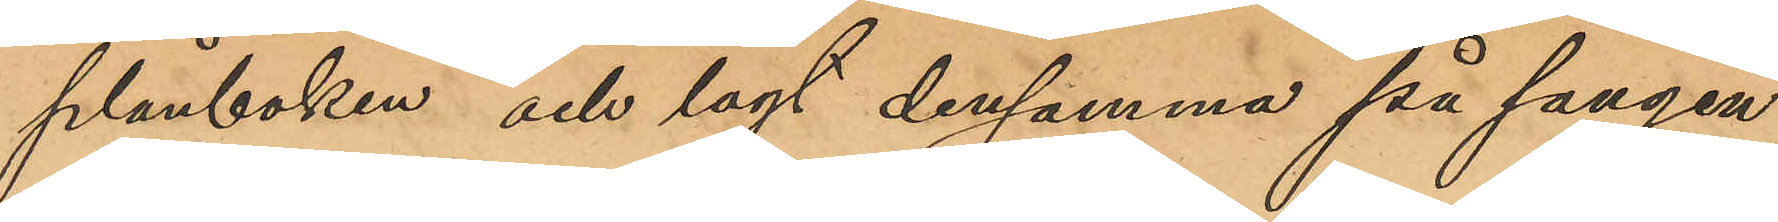plånboken och lagt densamma på sängen
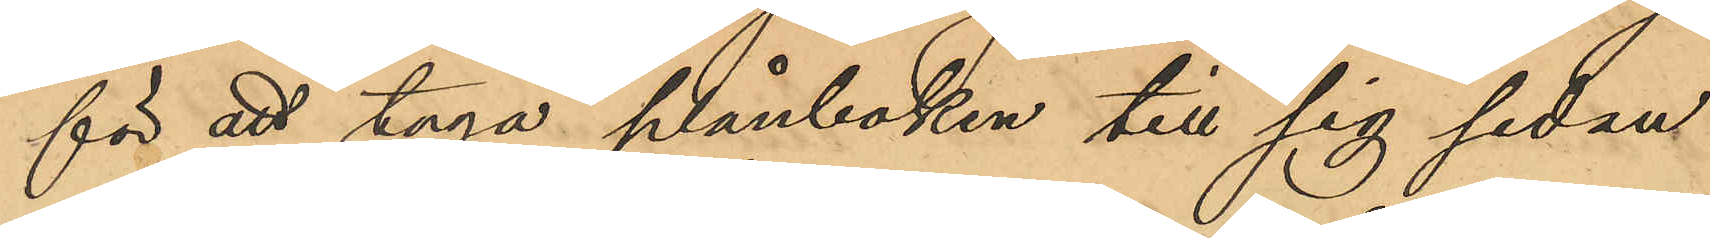för att taga plånboken till sig sedan
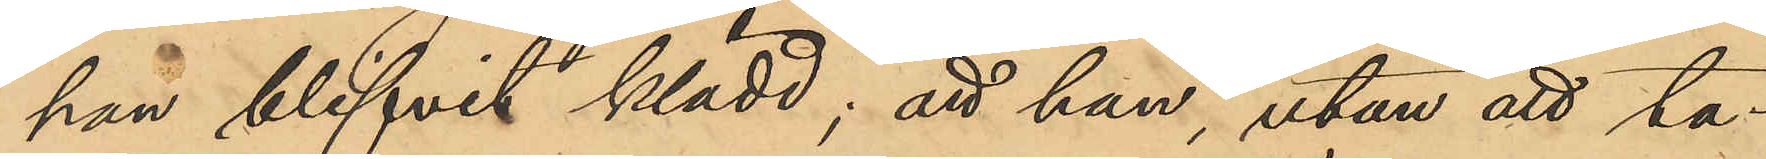han blifvit klädd; att han, utan att ta¬
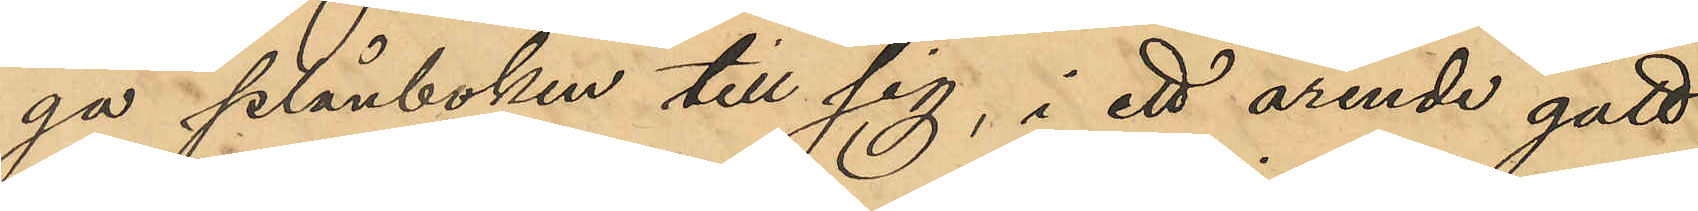ga plånboken till sig, i ett ärende gått
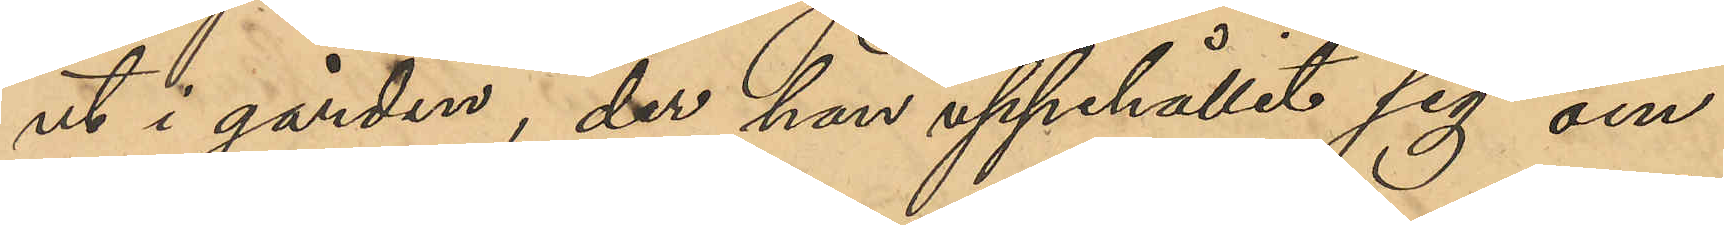ut i gården, der han uppehållit sig om¬
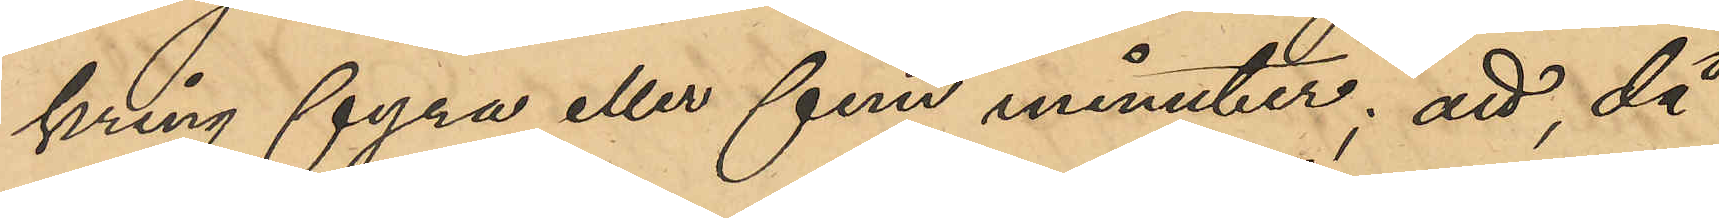kring fyra eller fem minuter; att, då
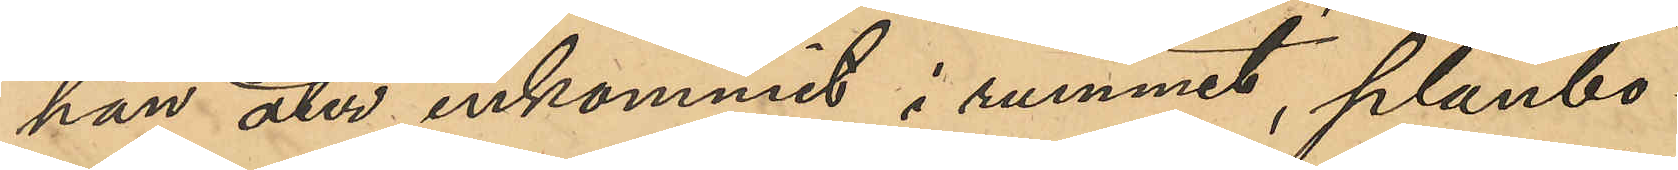han åter inkommit i rummet, plånbo¬
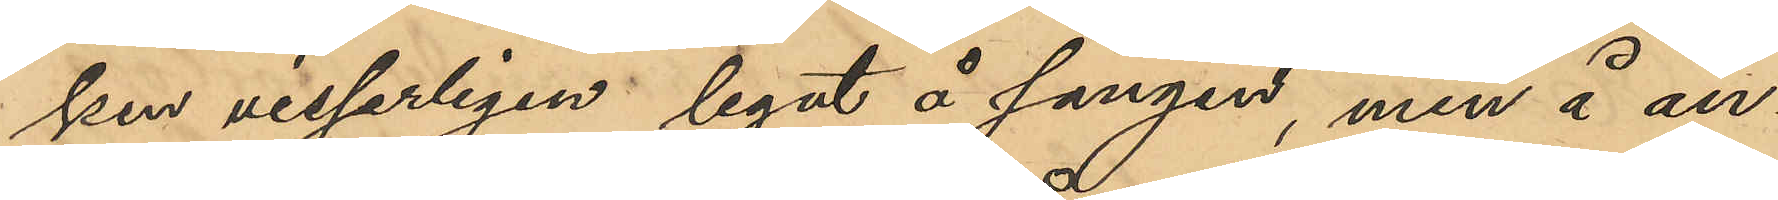ken visserligen legat å sängen, men å an¬
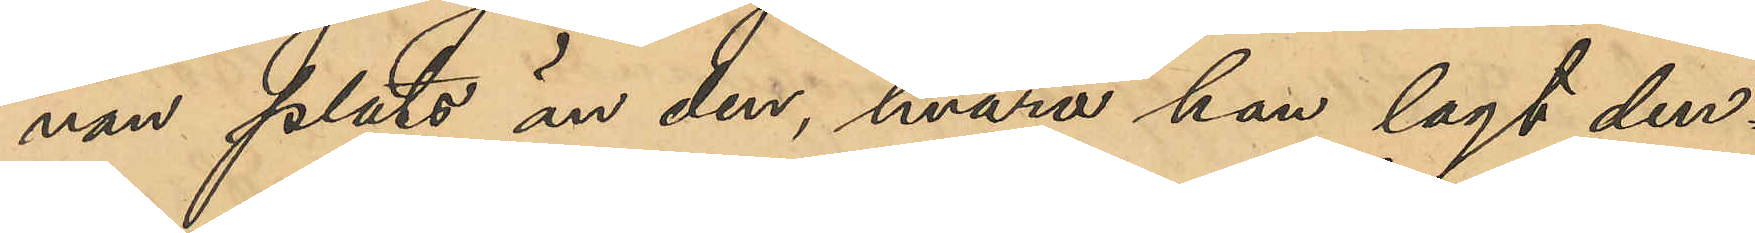nan plats än der, hvarå han lagt den¬
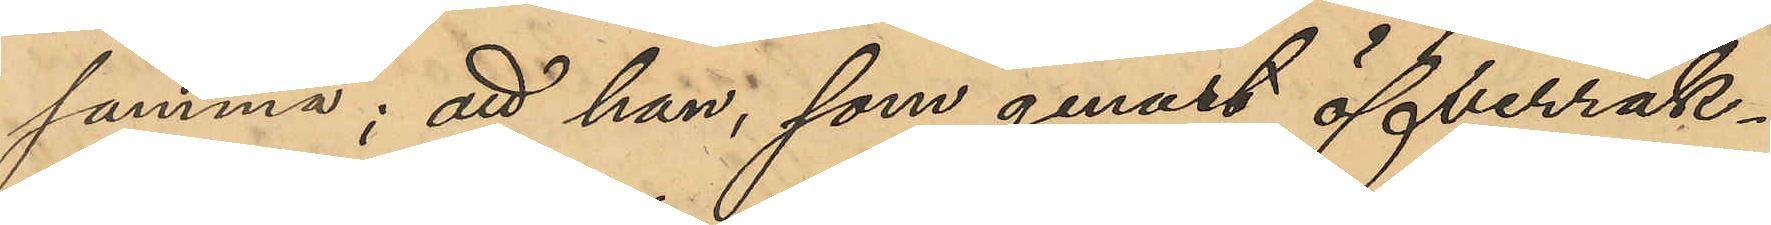samma; att han som genast öfverräk¬
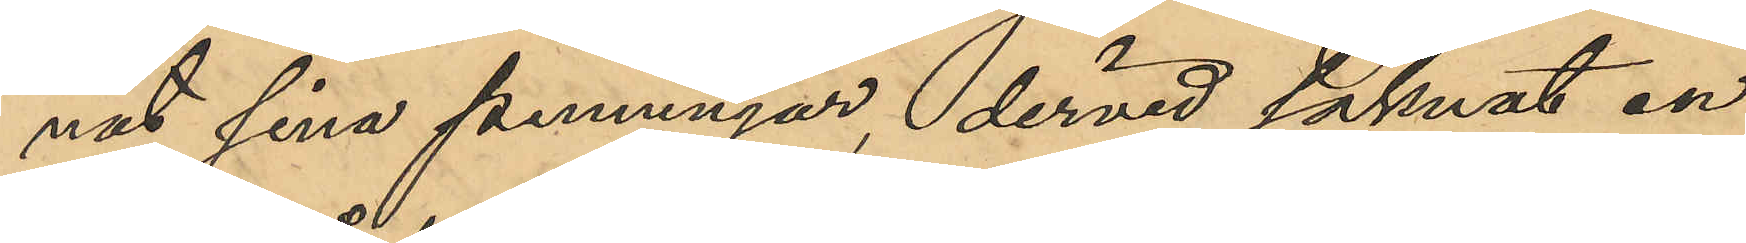nat sina penningar, dervid saknat en
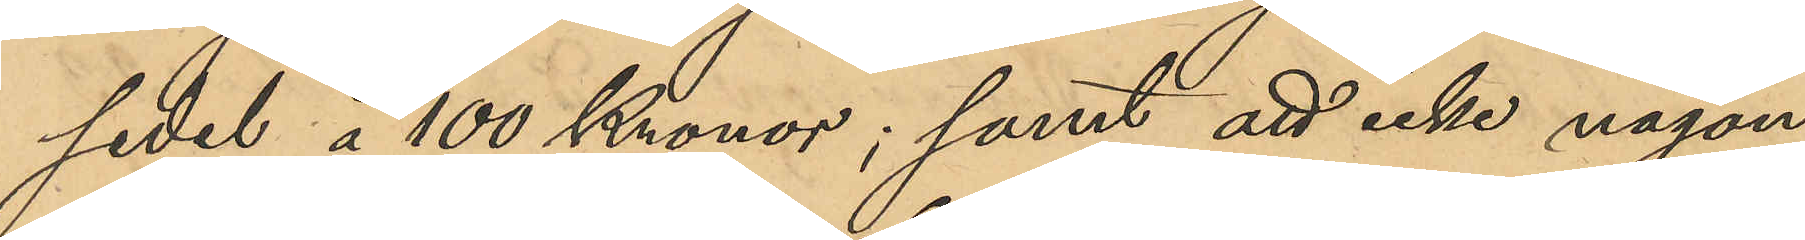sedel å 100 Kronor; samt att icke någon
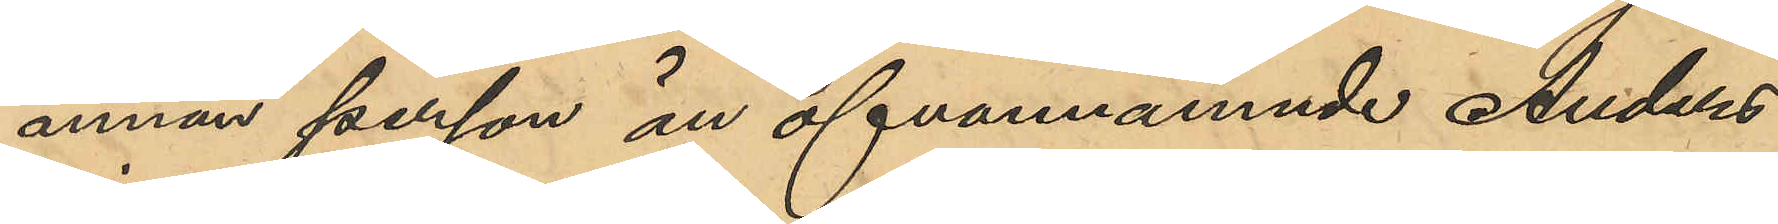annan person än ofvannämnde Anders
